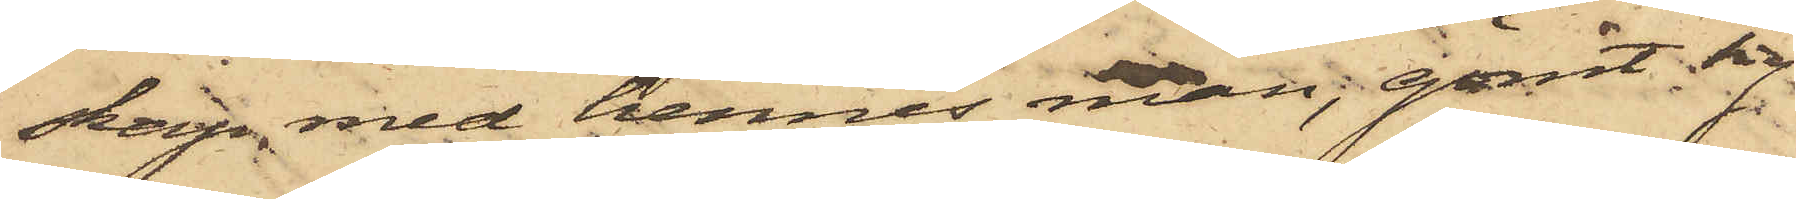skap med hennes man, gömt sig
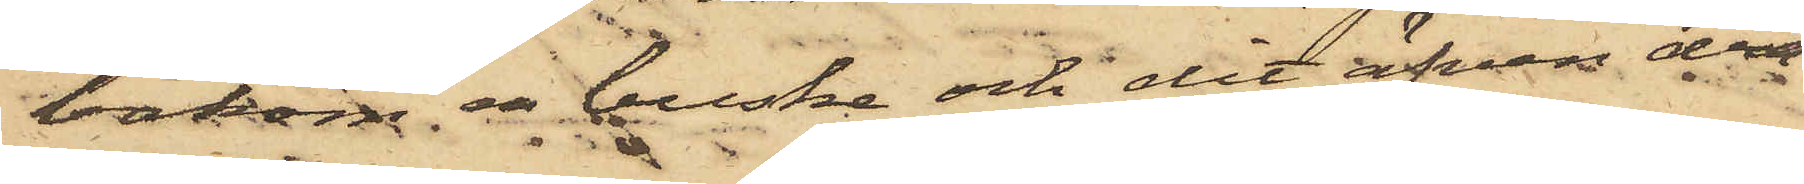bakom en buske och dit äfven dra¬
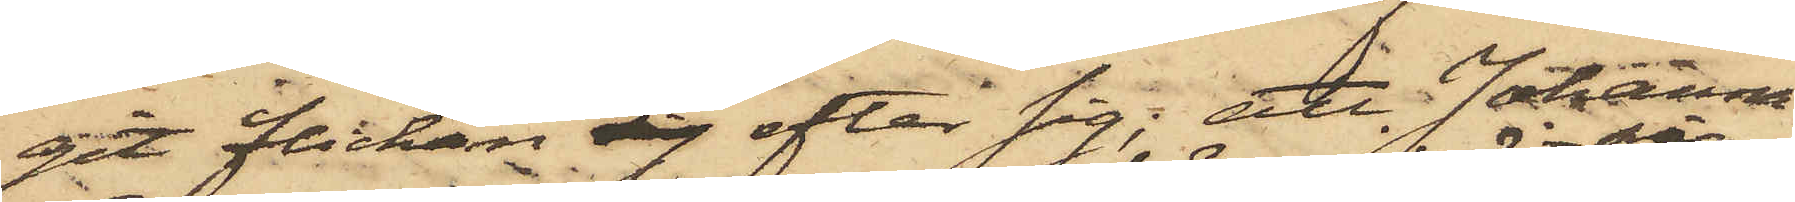git flickan sig efter sig; att Johanna
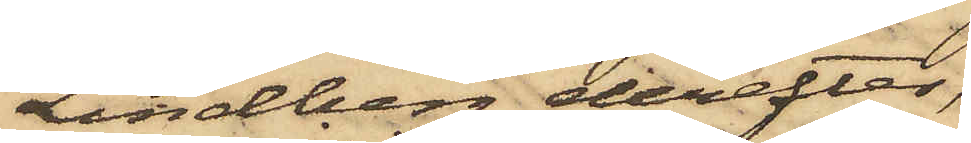Lindberg derefter,
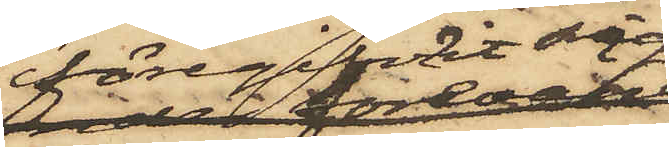föregifvit sig
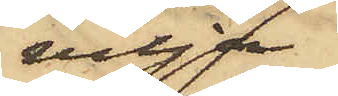vilja
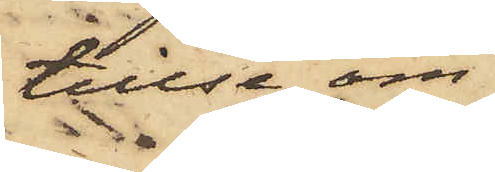tillse om
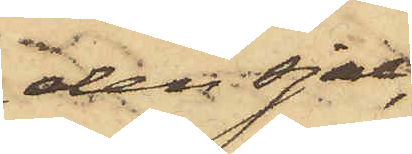den sjal,
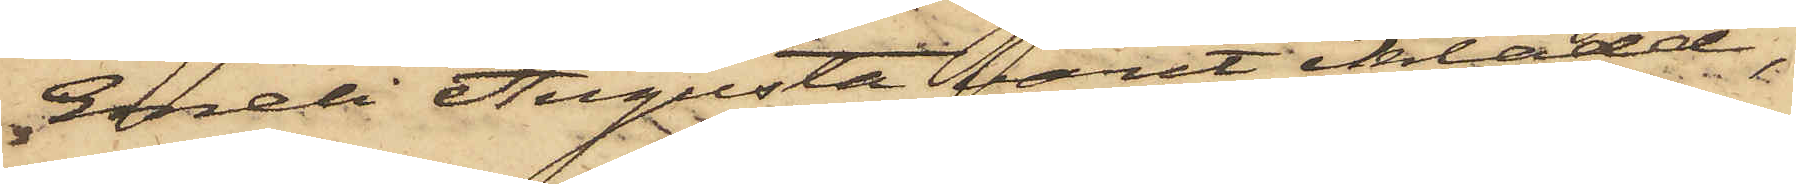Emeli Augusta varit iklädd,
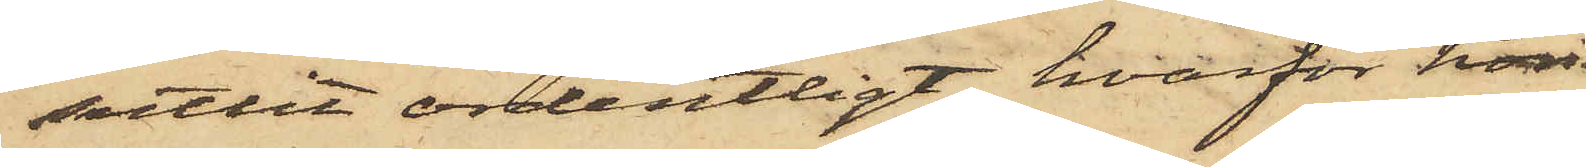suttit ordentligt, hvarför hon
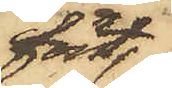först
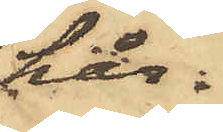hår¬
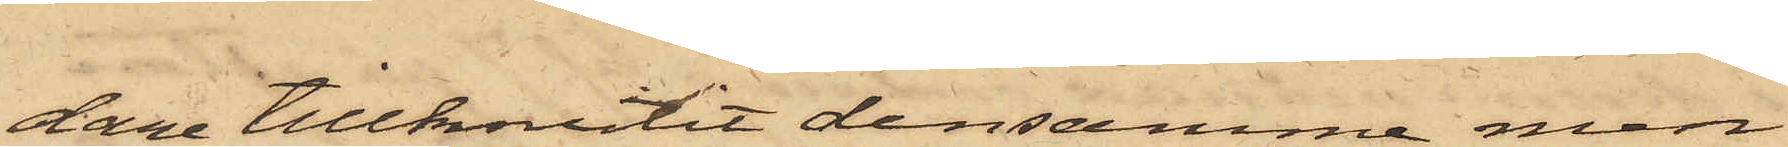dare tillknutit densamma men
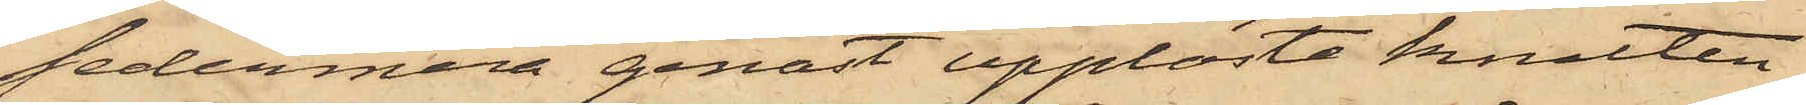sedermera genast upplöste knuten
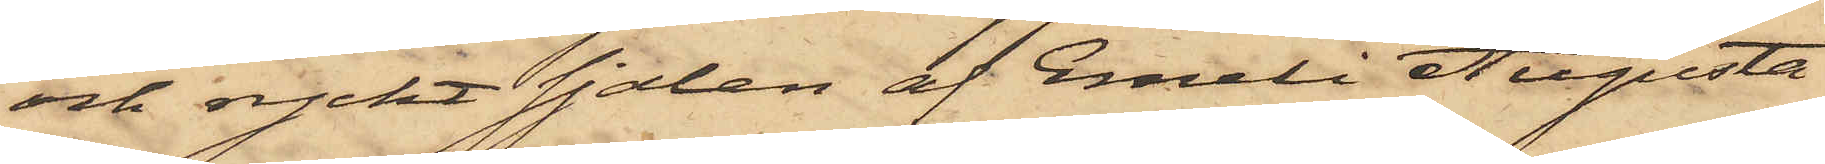och ryckt sjalen af Emeli Augusta
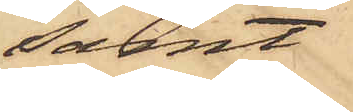samt
